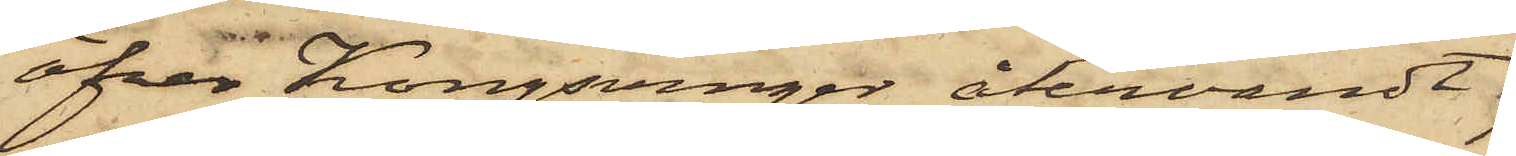öfver Kongsvinger återvändt
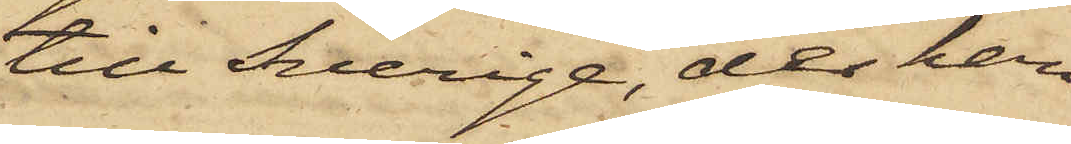till Sverige, der han
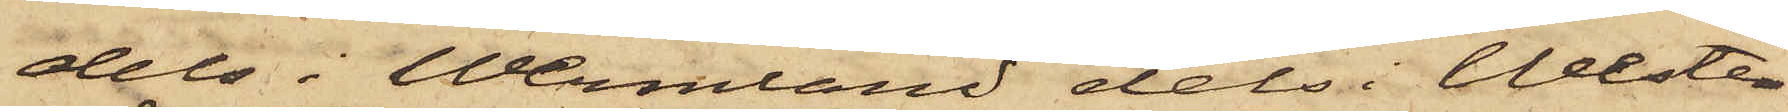dels i Wermland dels i Wester¬
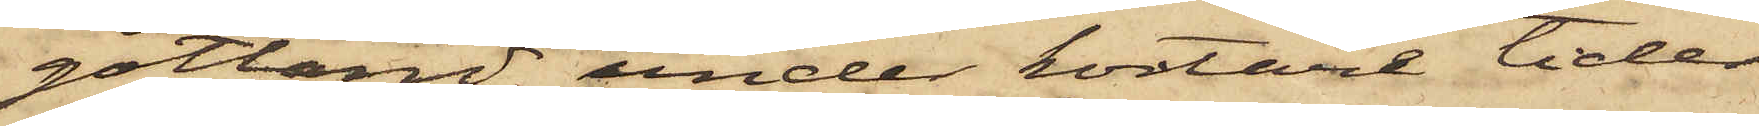götland under kortare tider
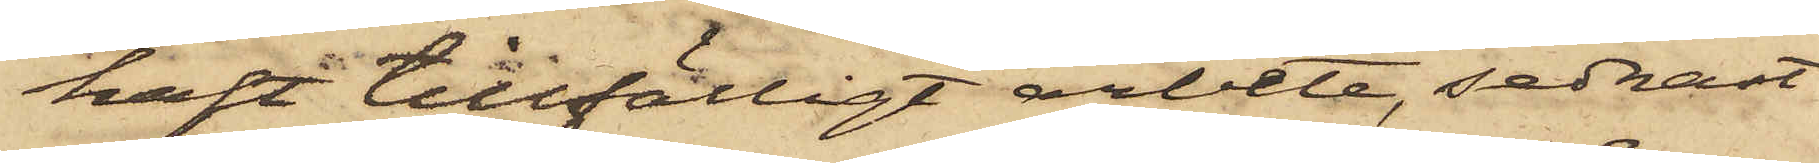haft tillfälligt arbete, sednast
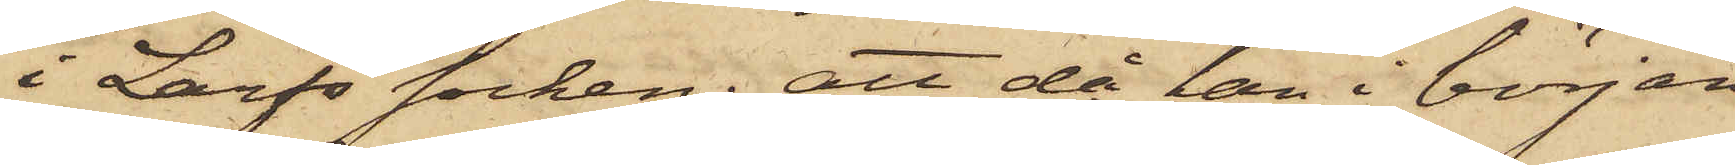i Larfs socken; att då han i början
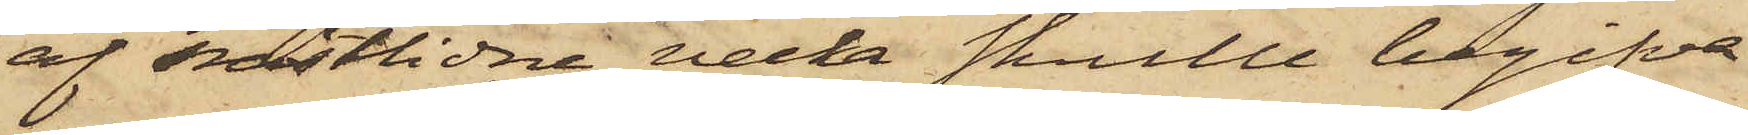af nästlidne vecka skulle begifva
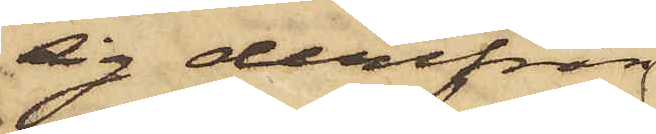sig derifrån
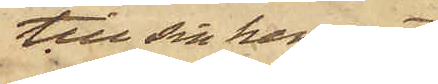till sin hemort,
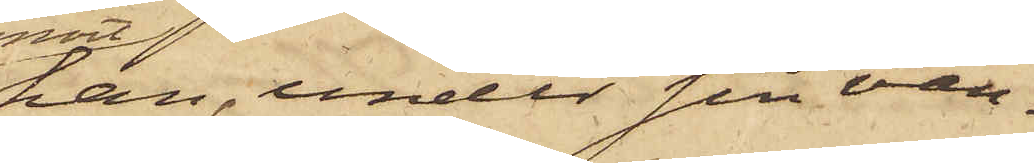han, under sin van¬
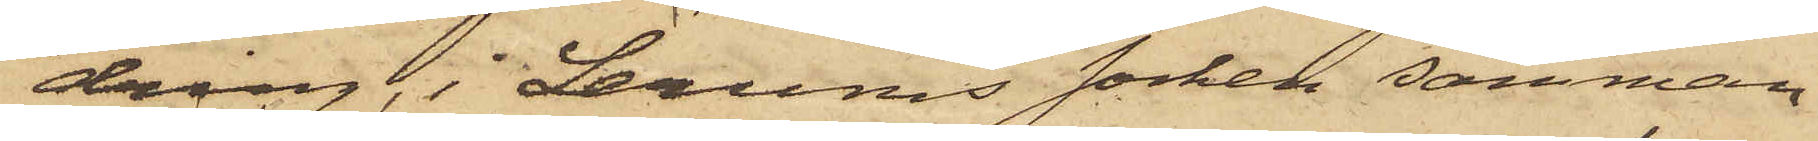dring, i Lerums socken samman¬
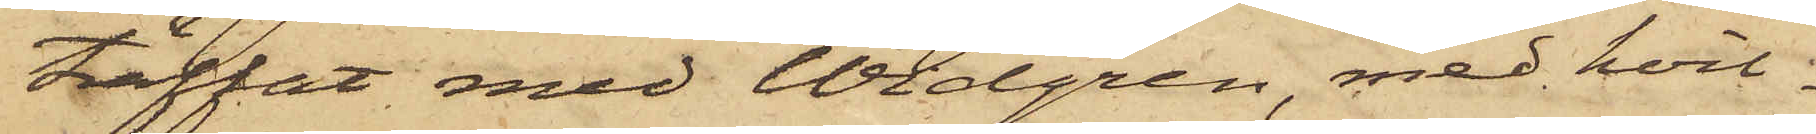träffat med Widgren, med hvil¬
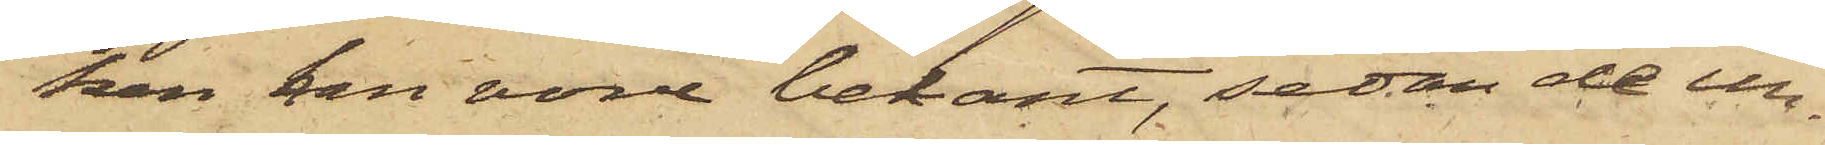ken han vore bekant, sedan de un¬
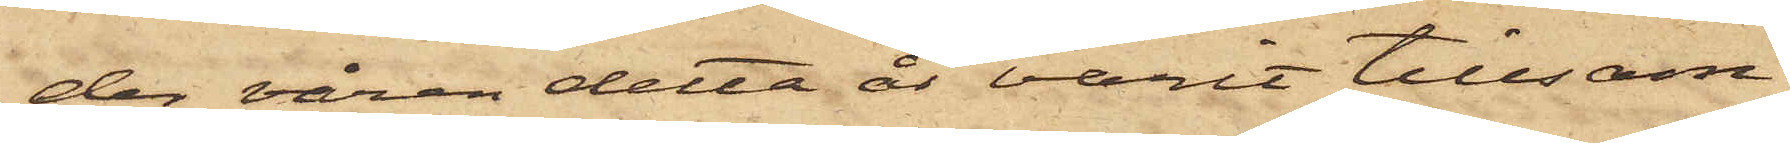der våren detta år varit tillsam¬
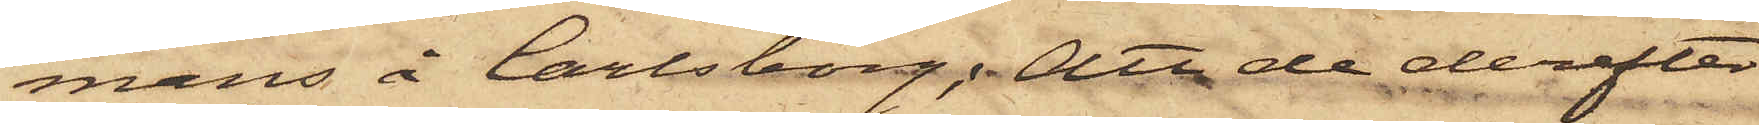mans å Carlsborg; Att de derefter
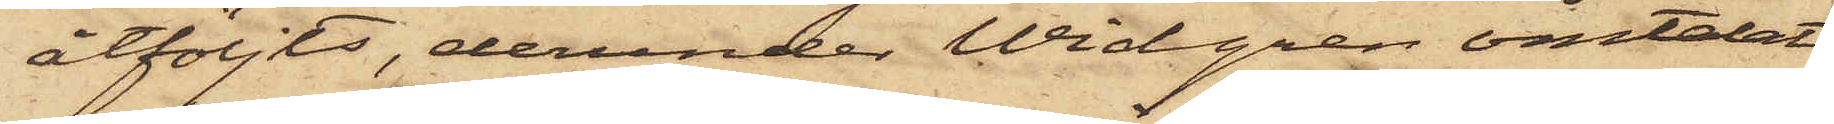åtföljts, derunder Widgren omtalat
